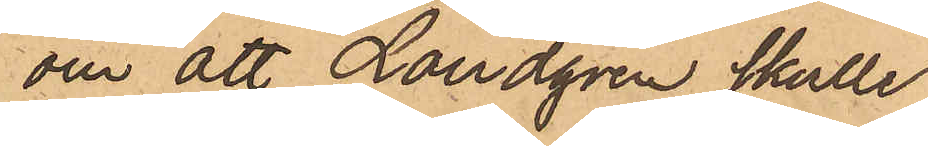om att Landgren skulle
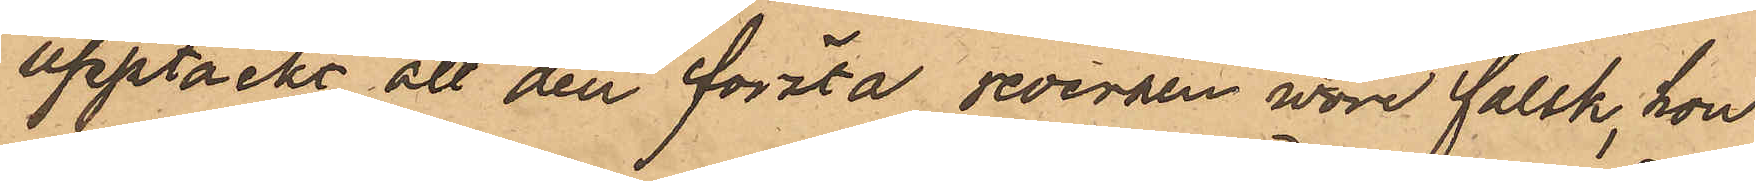upptäckt att den första reversen vore falsk, hon
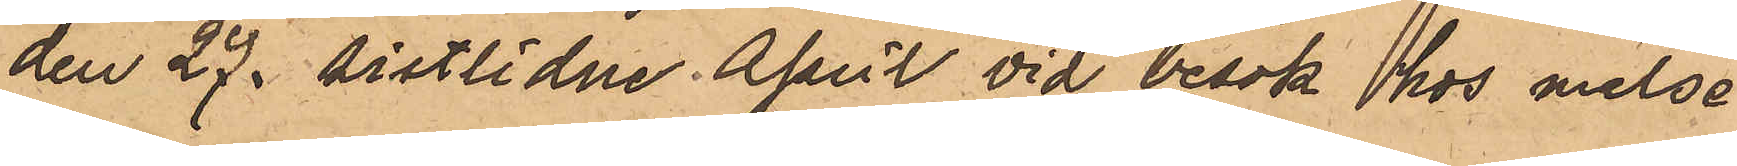den 27 sistlidne April vid besök hos målse¬
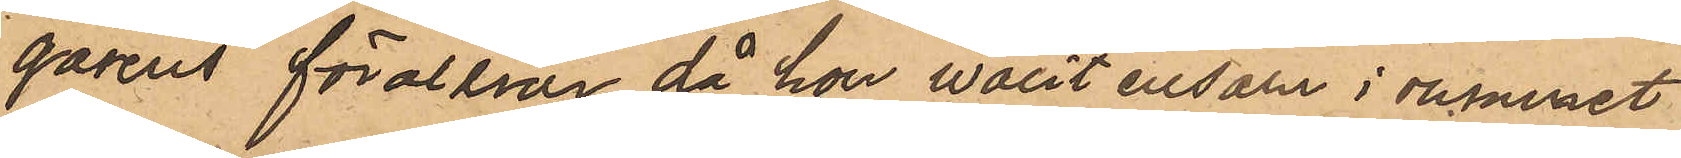garens föräldrar, då hon varit ensam i rummet
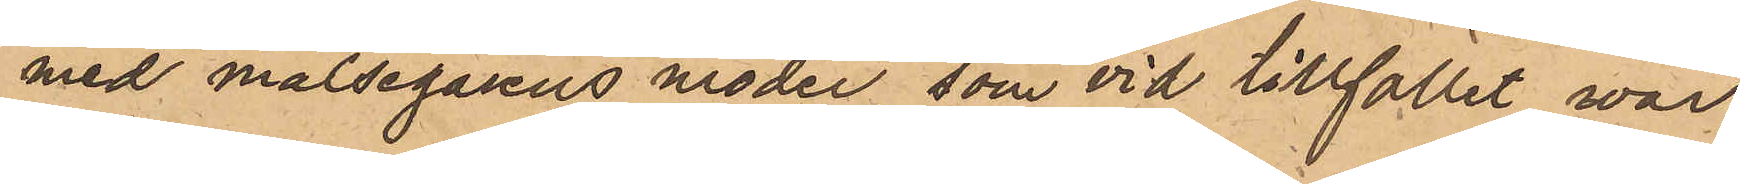med målsegarens moder, som vid tillfället var
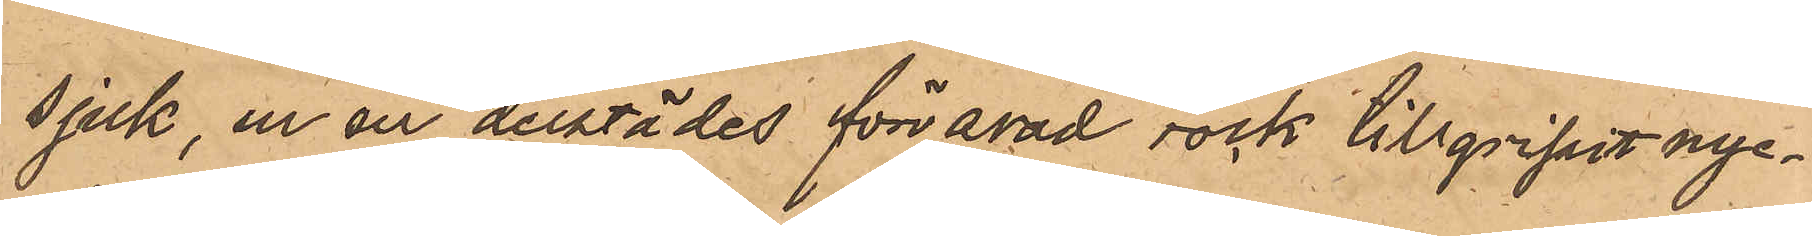sjuk, ur en derstädes förvarad rock tillgripit nyc¬
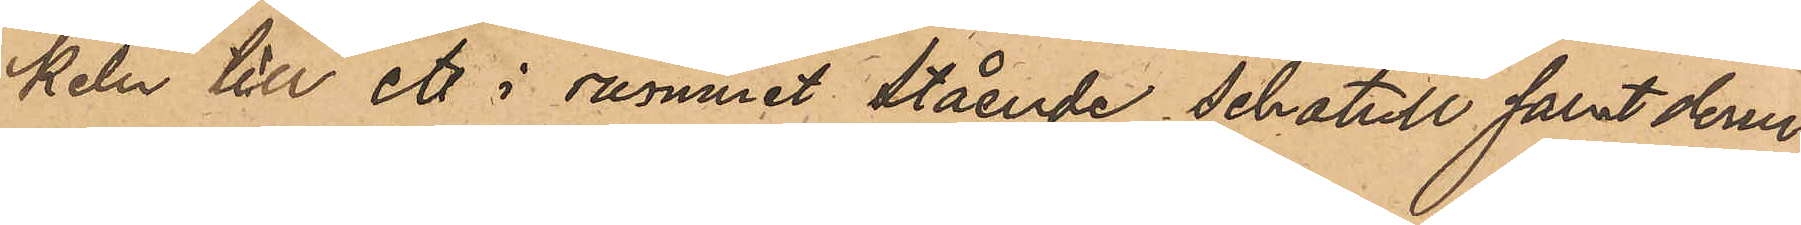keln till ett i rummet stående schateull samt derur
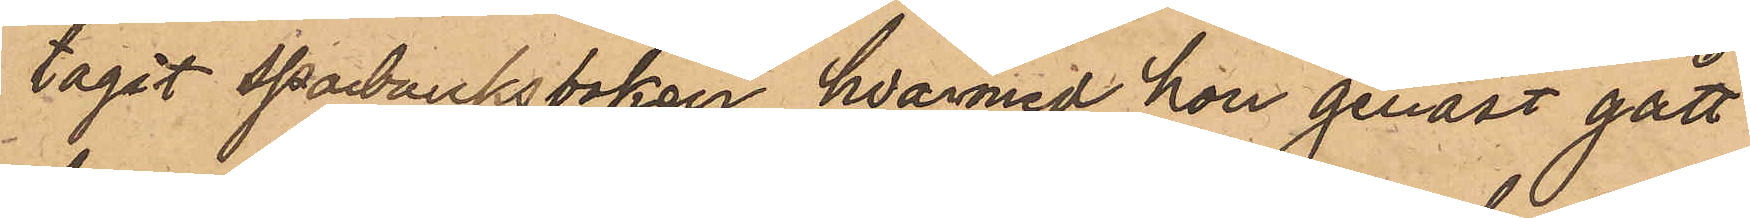tagit sparbanksboken, hvarmed hon genast gått
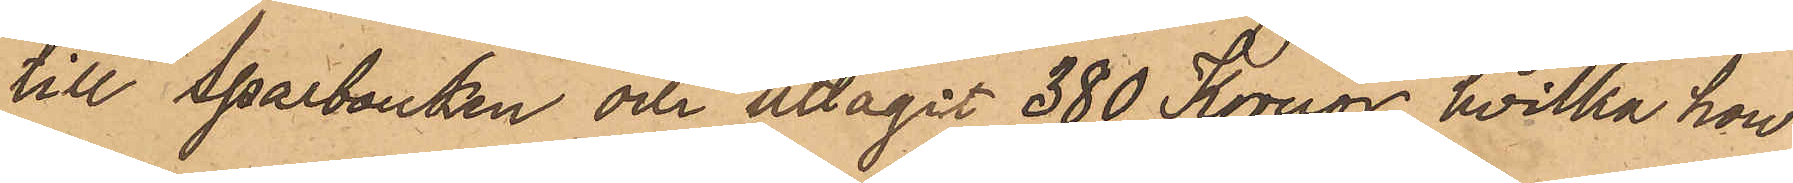till sparbanken och uttagit 380 Kronor, hvilka hon
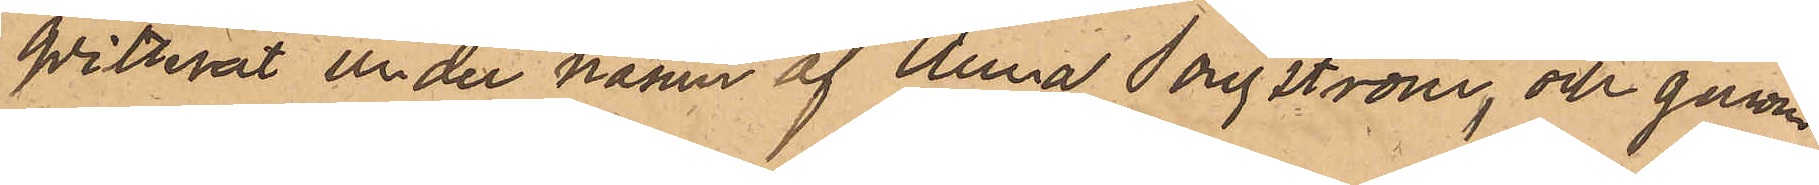qvitterat under namn af "Anna Jongström", och genom
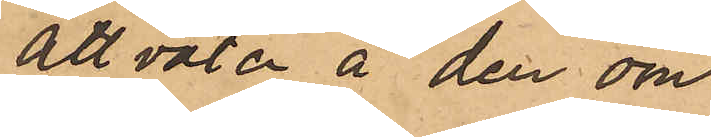att väta å den om
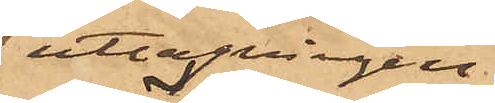uttagningen
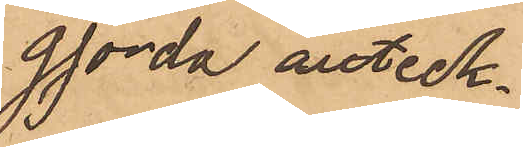gjorda anteck¬
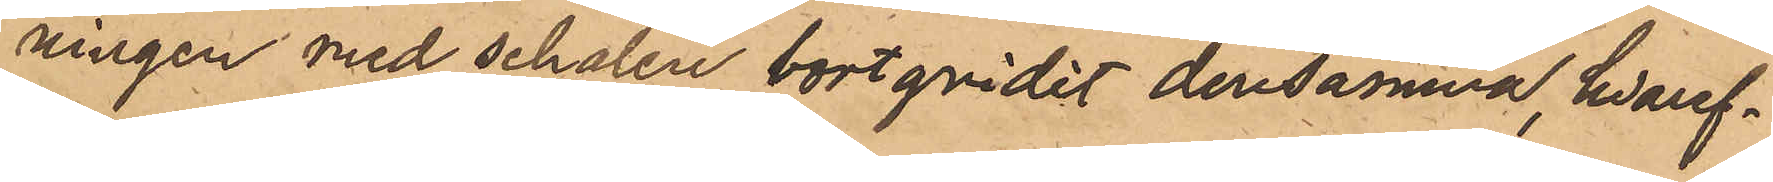ningen med schalen bortgnidit densamma, hvaref¬
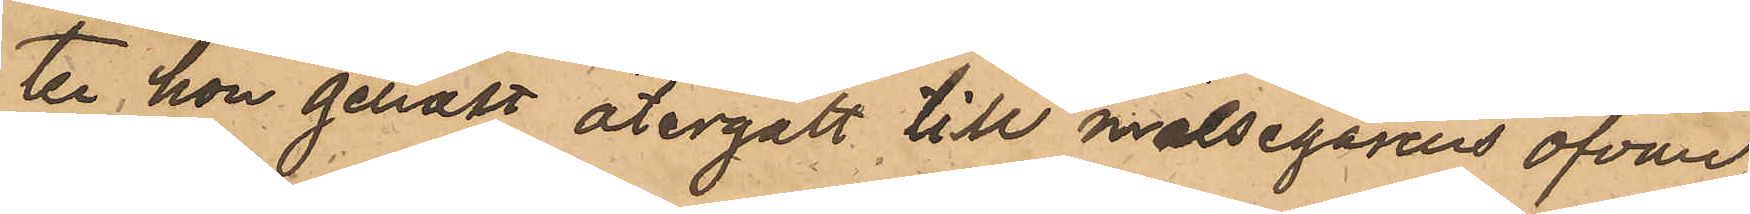ter hon genast återgått till målsegarens ofvan
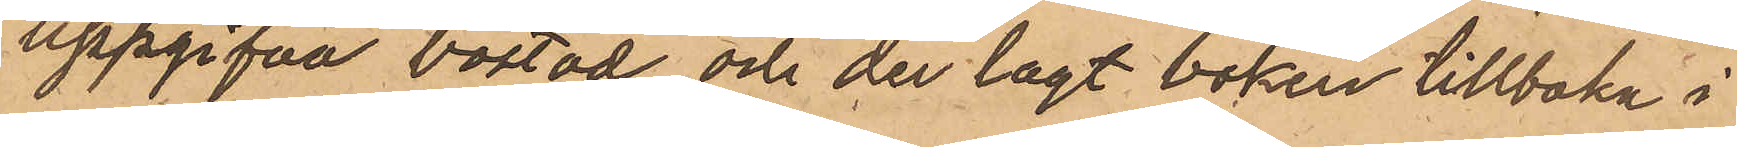uppgifna bostad och der lagt boken tillbaka i
